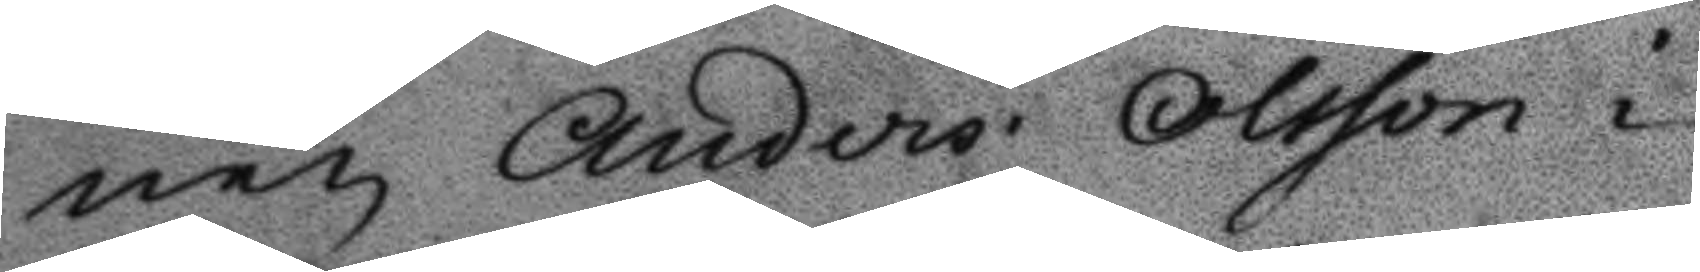nen Anders Olsson i
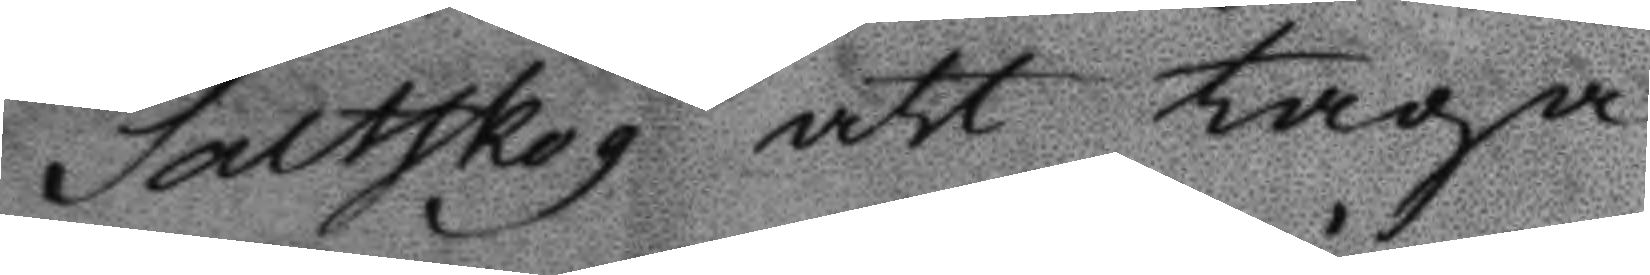Saltskog att taga
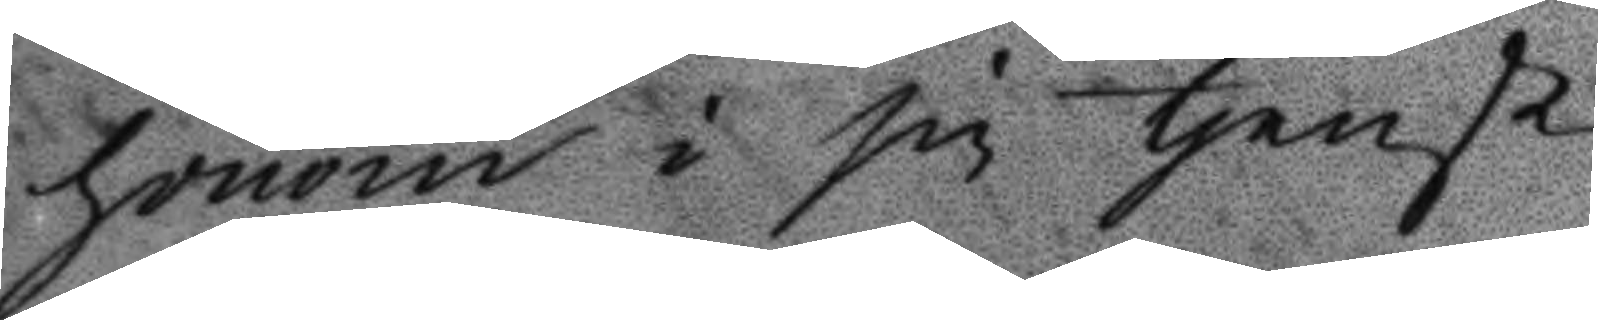honom i sin tjenst,
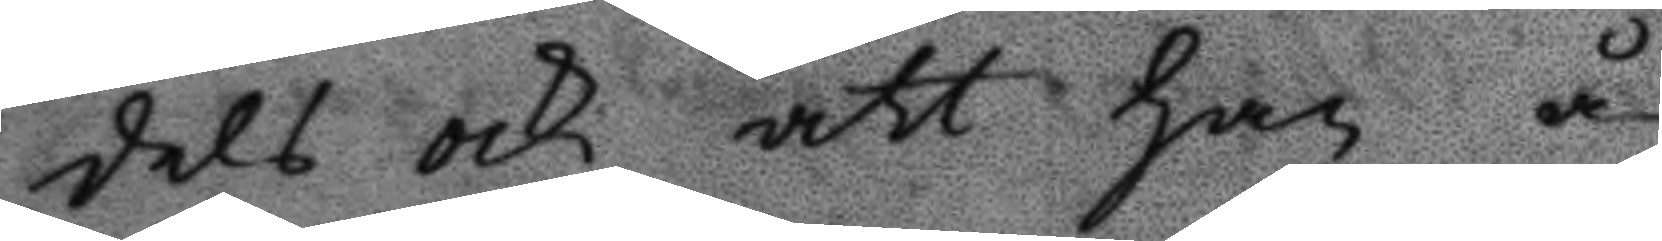dels och att han å
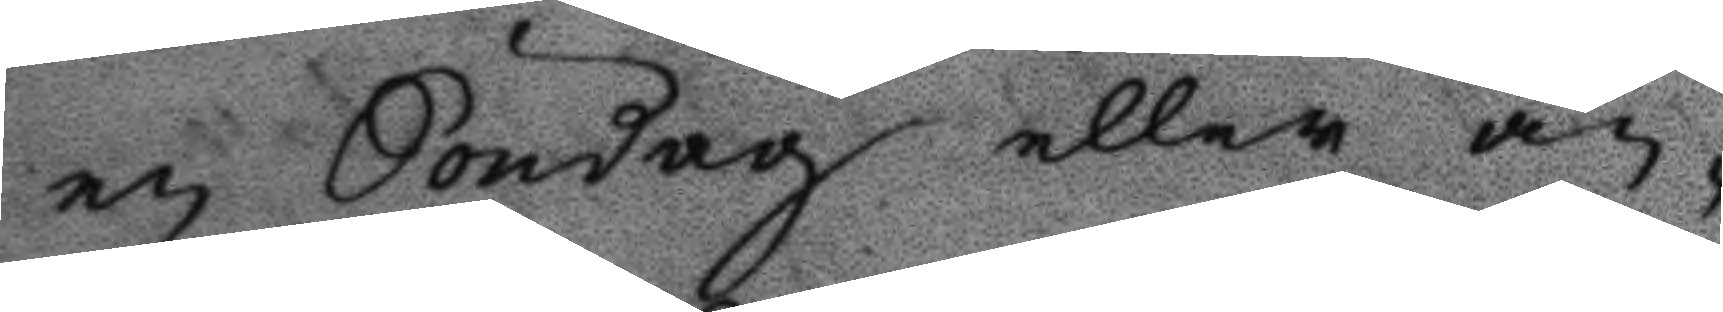en Söndag eller an¬
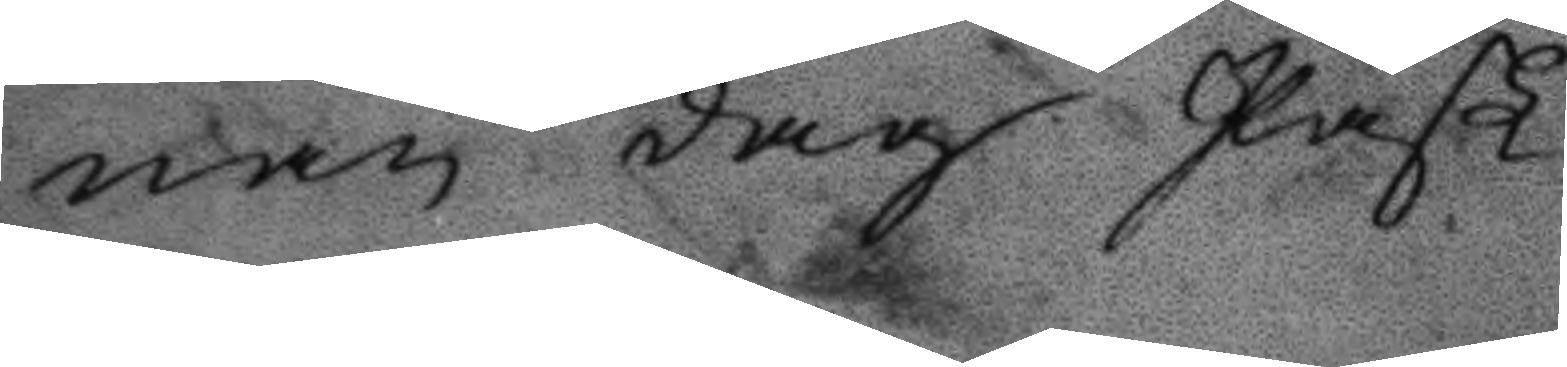nan dag Påsk
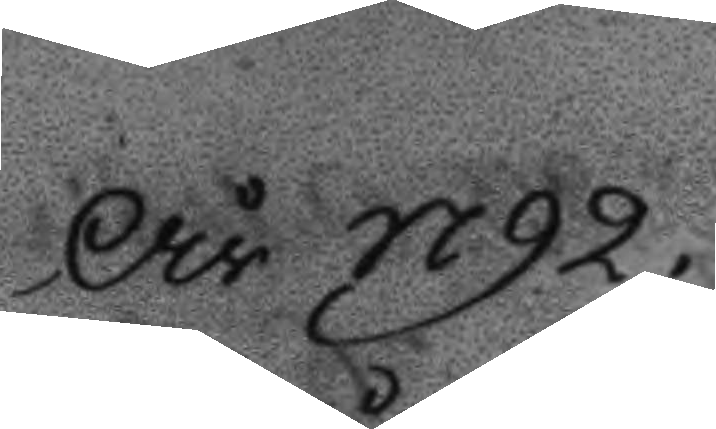År 1792.
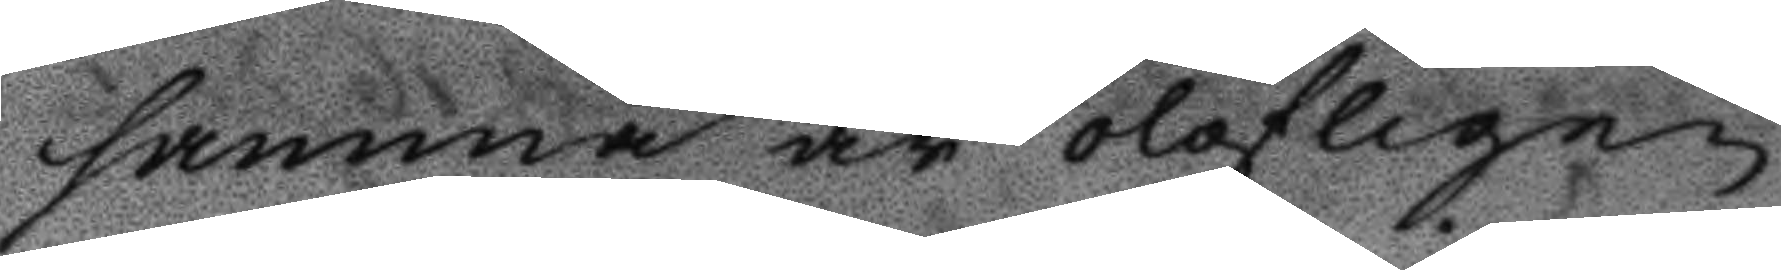samma år olofligen
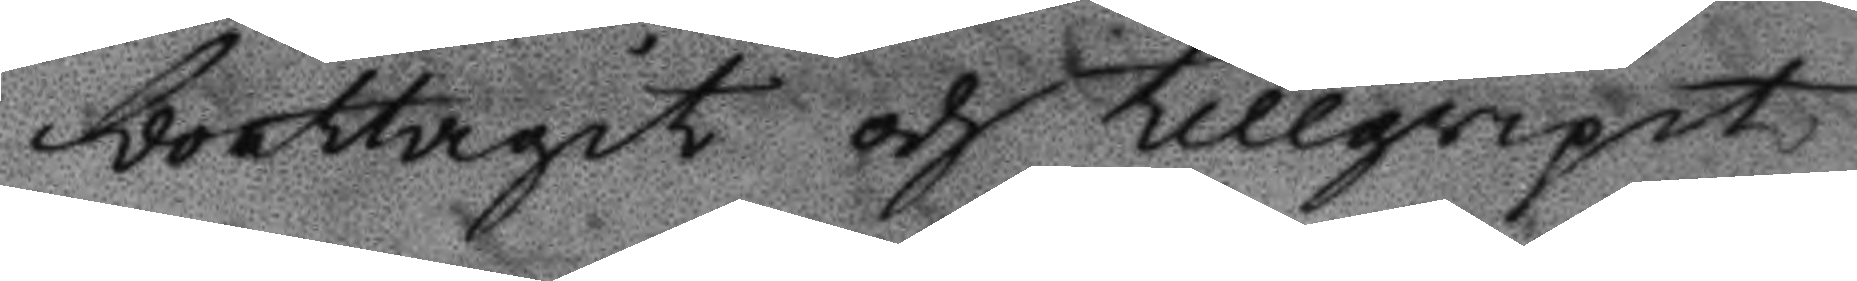borttagit och tillgripit
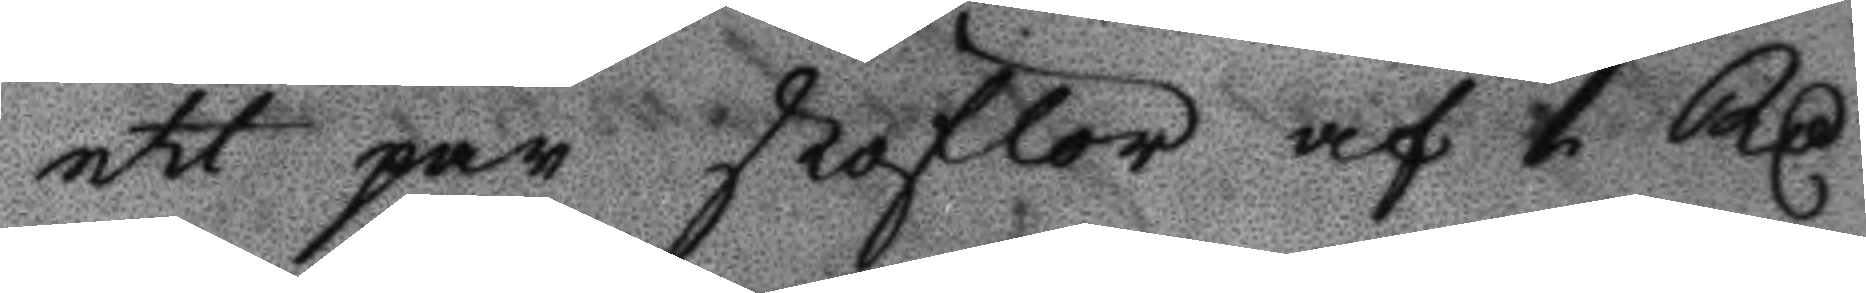ett par stöflor af 1 Rs
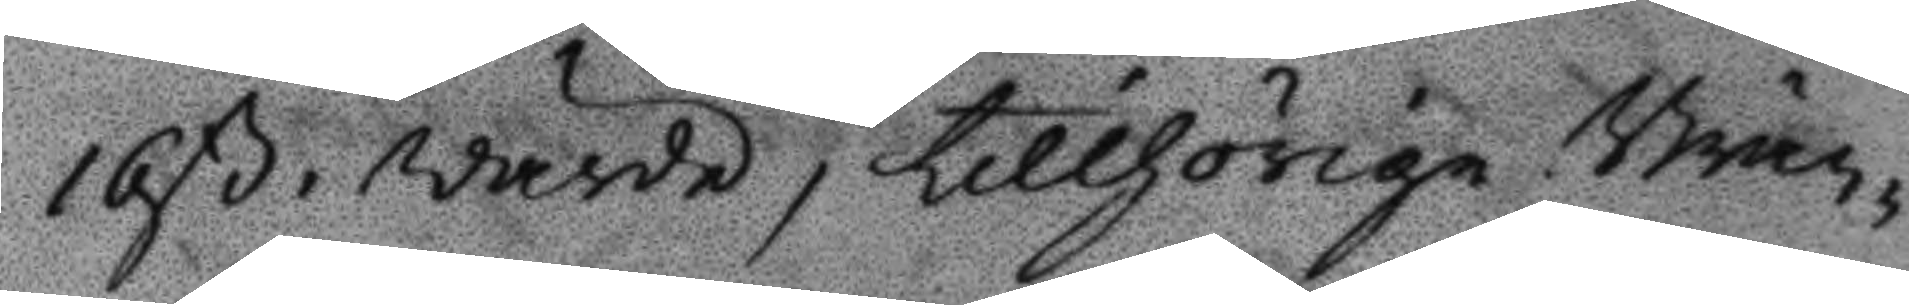16 ß, wärde, tillhörige Brän¬
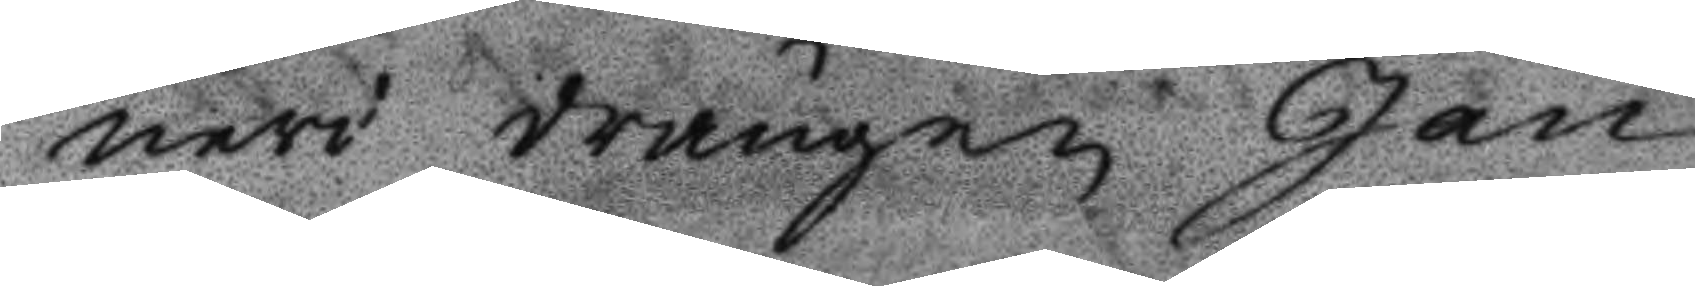neri drängen Jan
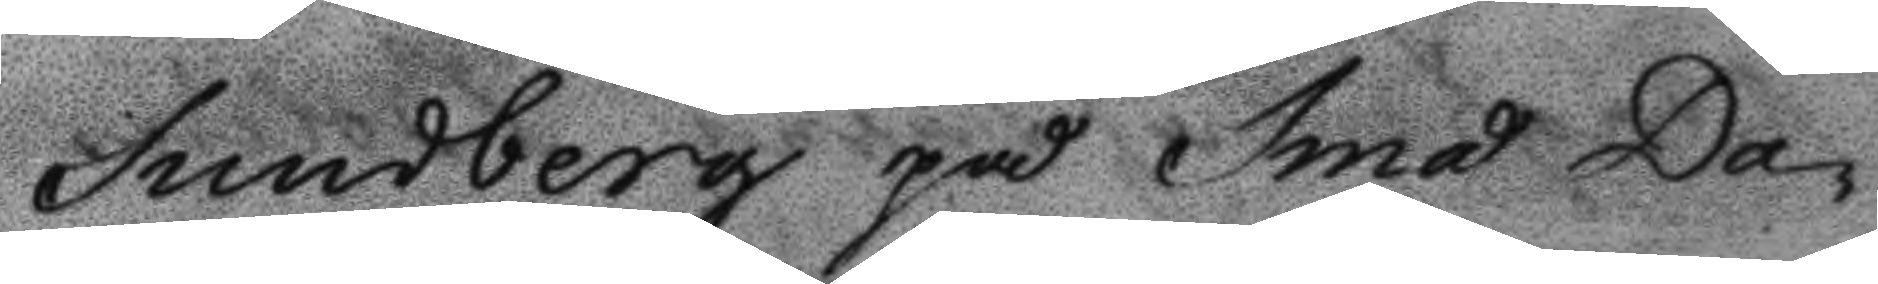Sundberg på Små Da¬
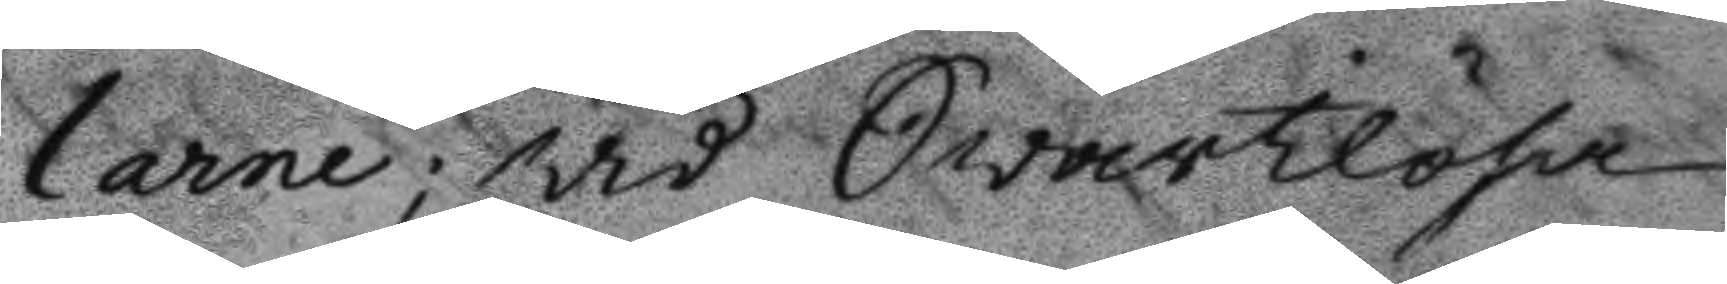larne; wid Swartlösa
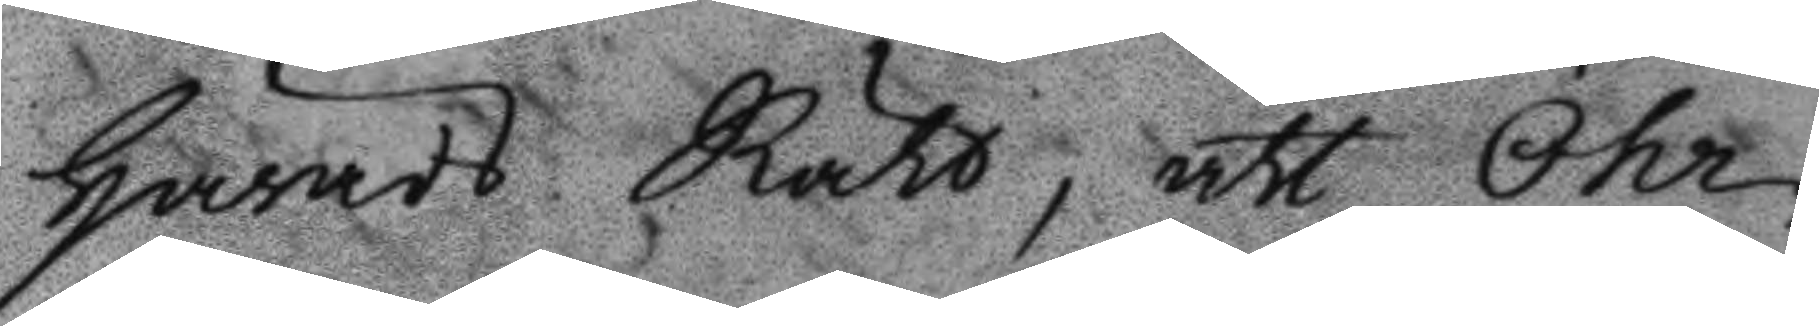Härads Rätt, att Öhr¬
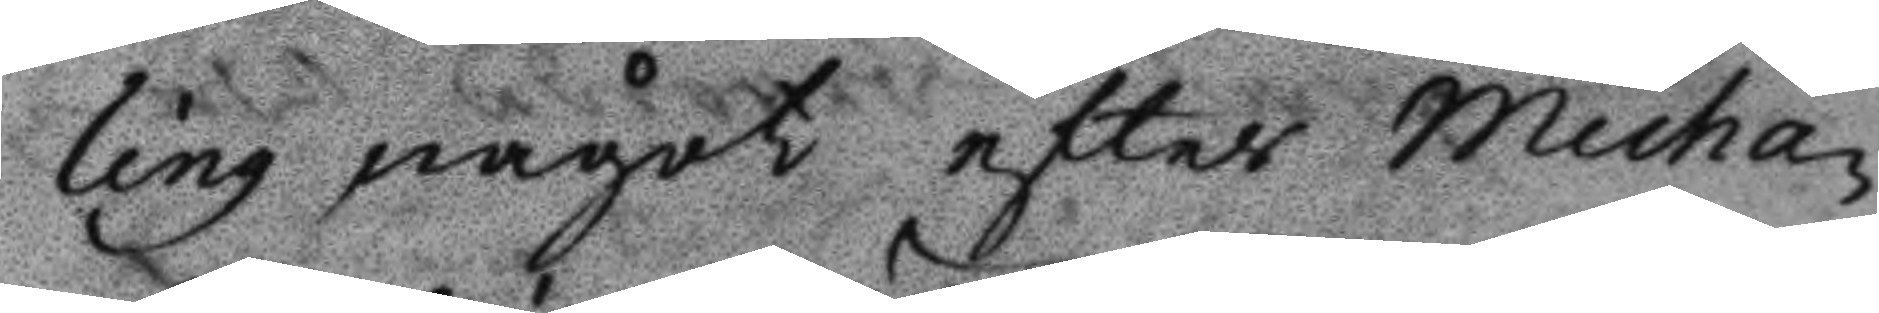ling något efter Micha¬
